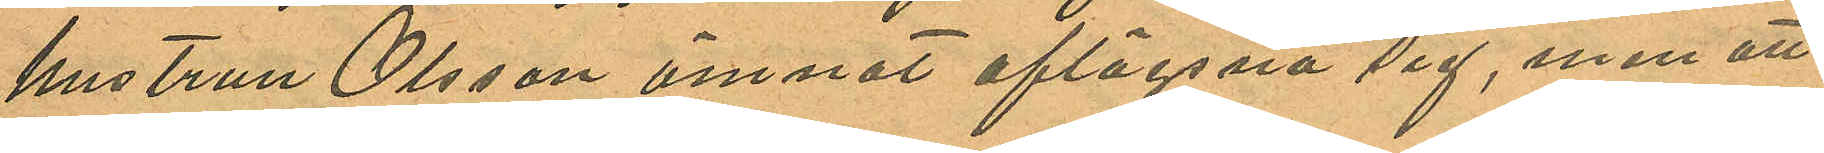hustrun Olsson ämnat aflägsna sig, men att
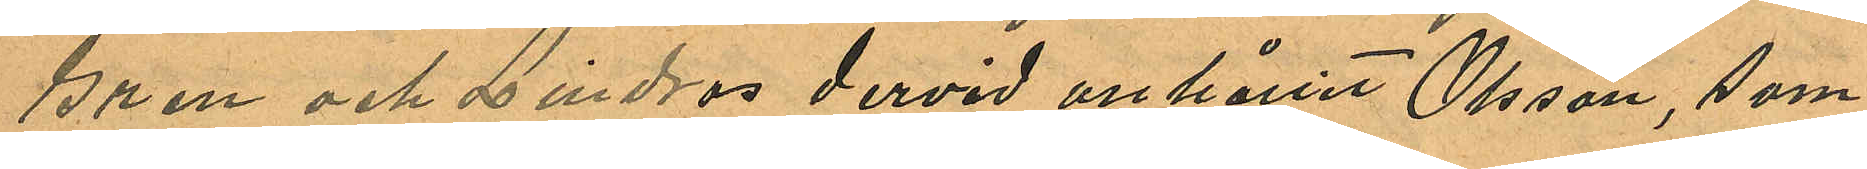Gren och Lindros dervid anhållit Olsson, som
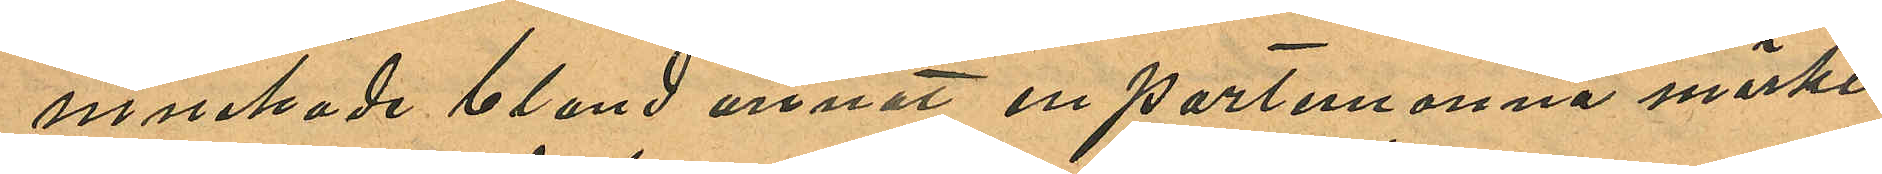innehade bland annat en portemonnä märkt
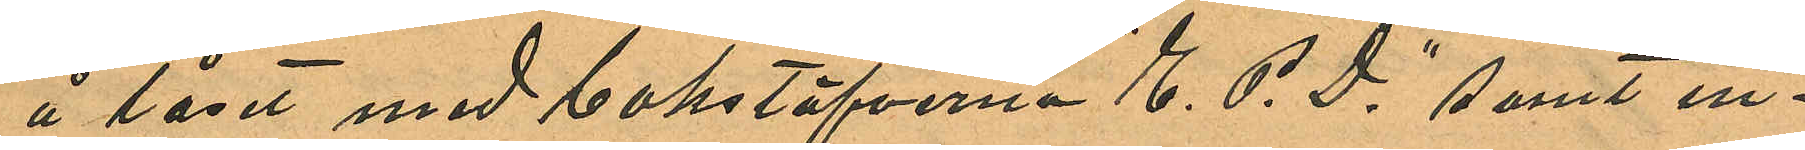å låset med bokstäfverna "E. P. D" samt in¬
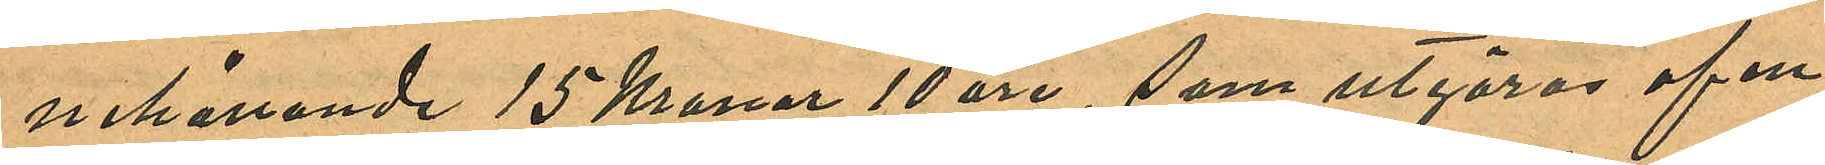nehållande 15 Kronor 10 öre, som utgöres af en
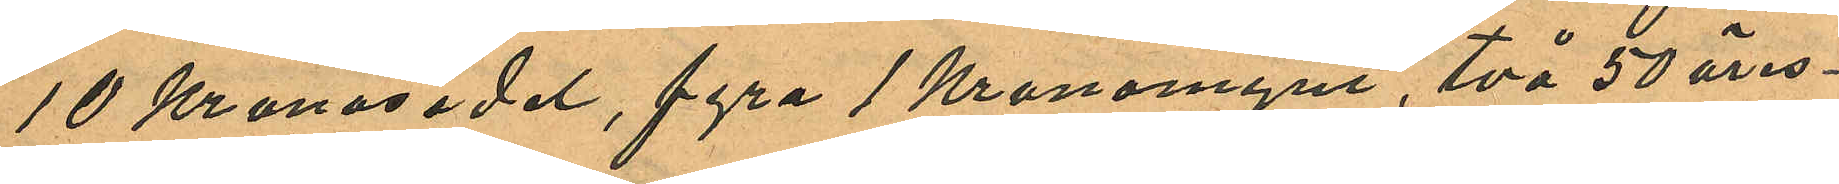10 Kronosedel, fyra 1 Kronomynt, två 50 öres¬
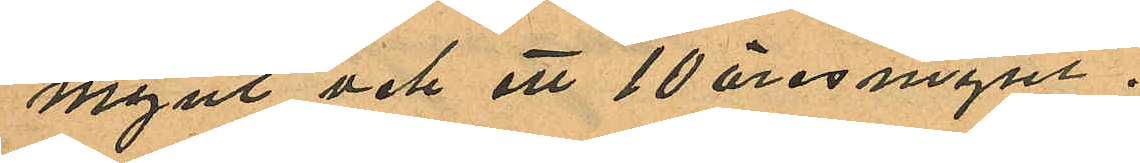mynt och ett 10 öresmynt.
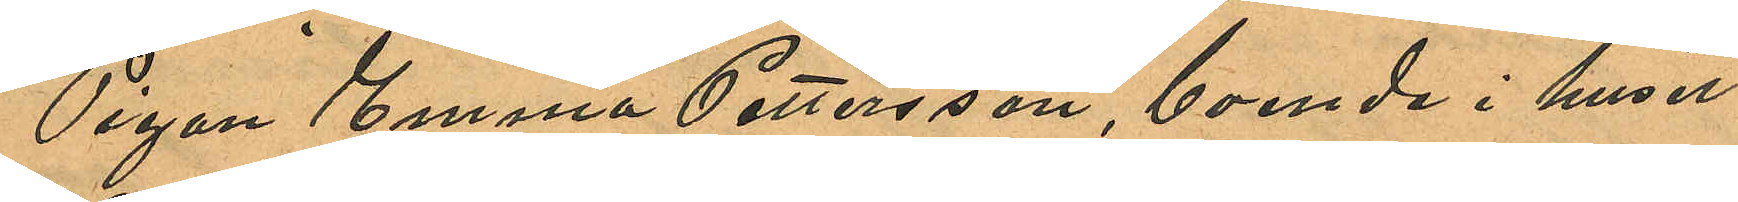Pigan Emma Pettersson, boende i huset
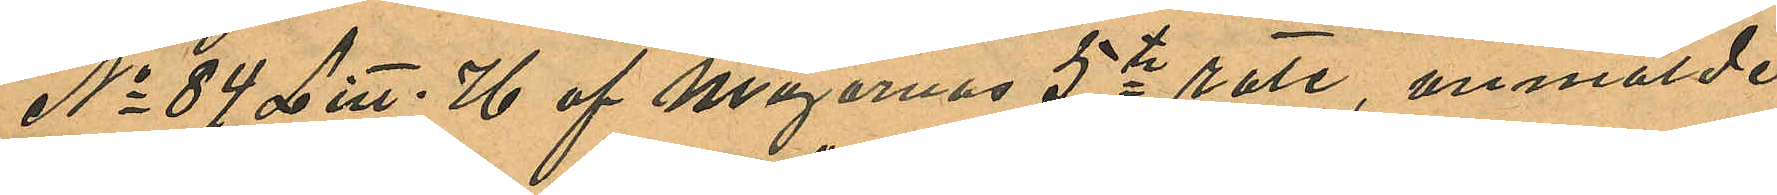No 84 Litt. H af Majornas 5te rote, anmälde
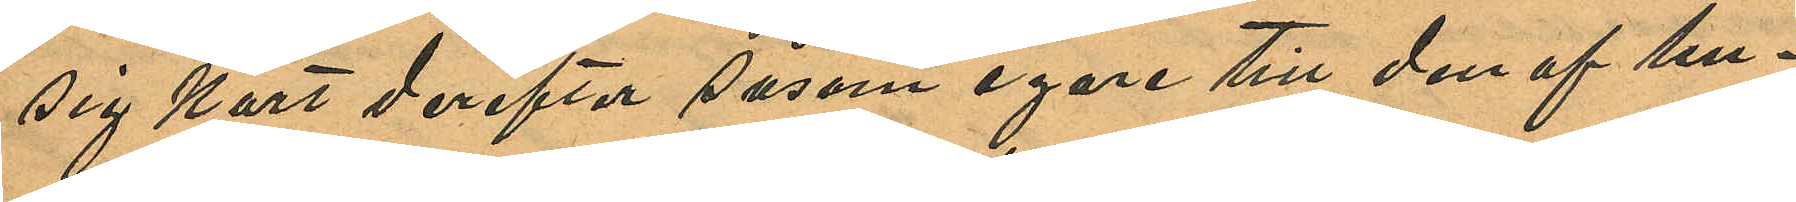sig kort derefter såsom egare till den af hu¬
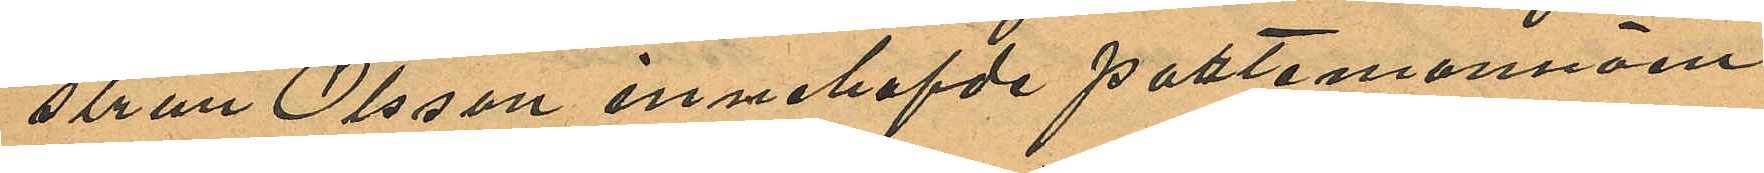strun Olsson innehafde portemonnäen
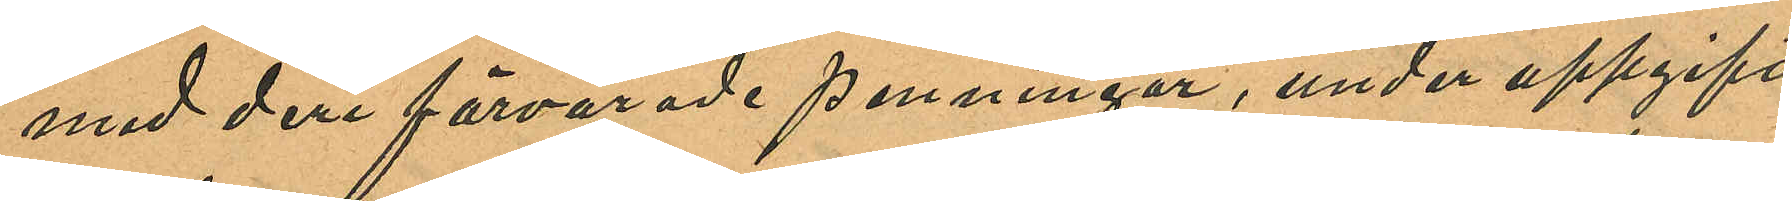med deri förvarade penningar, under uppgift,
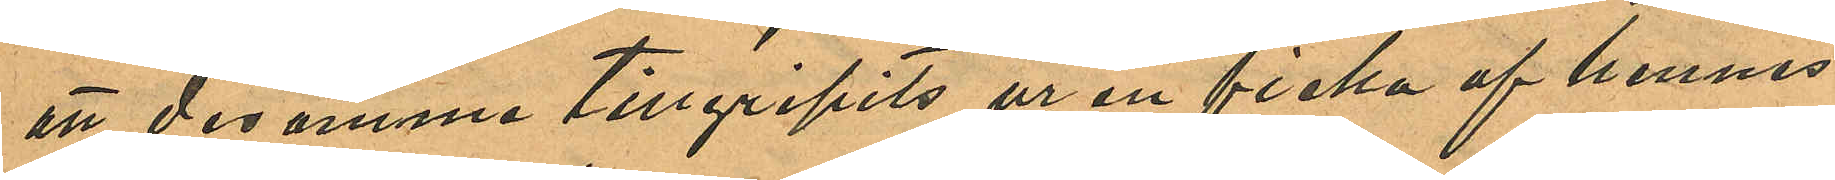att desamma tillgripits ur en ficka af hennes
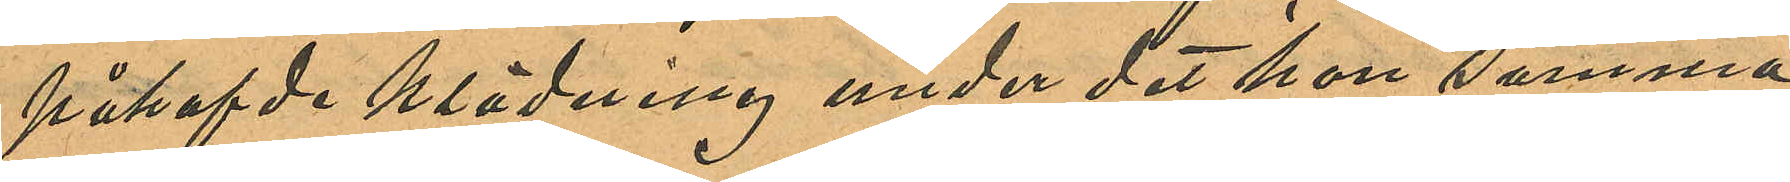påhafvde klädning under det hon samma
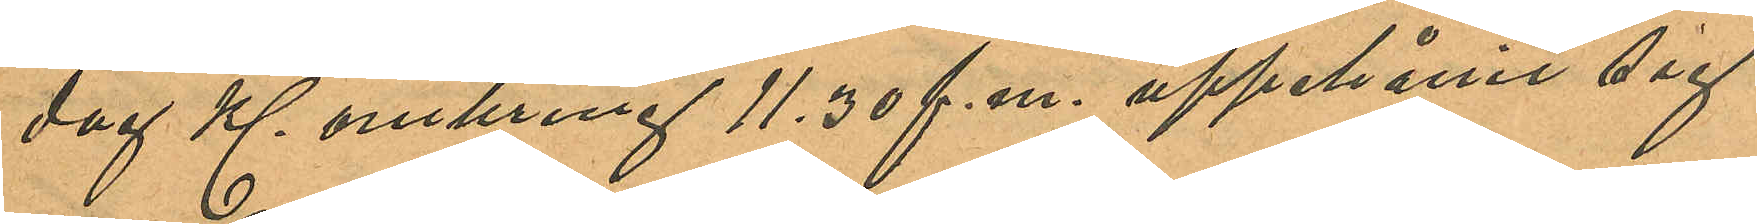dag Kl. omkring 11.30 f. m. uppehållit sig
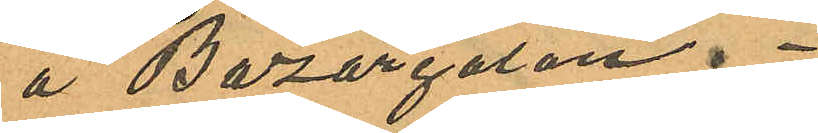å Bazargatan.
